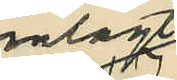inlagt
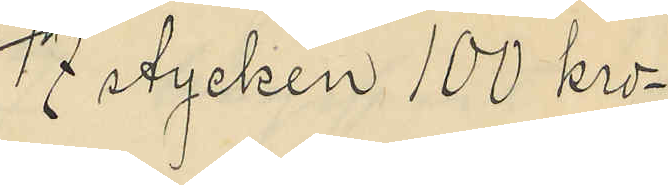17 stycken 100 Kro¬
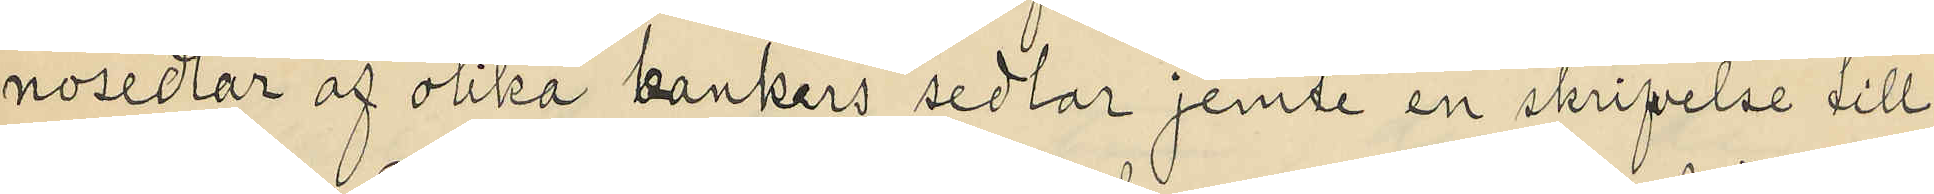nosedlar af olika bankers sedlar jemte en skrifvelse till
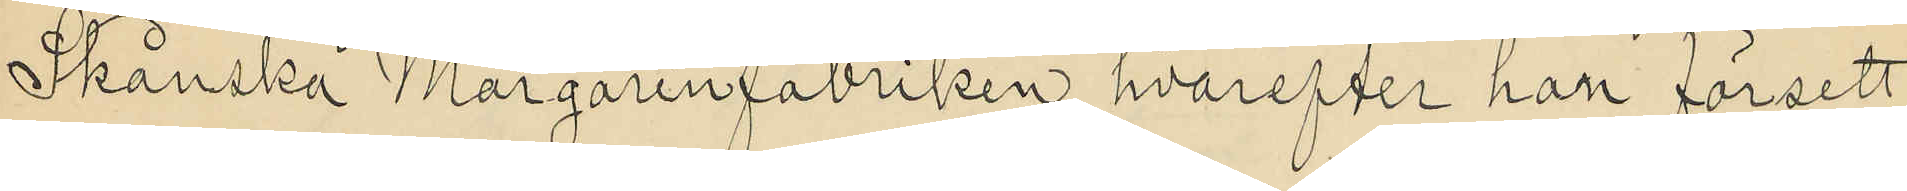Skånska Margarinfabriken, hvarefter han försett
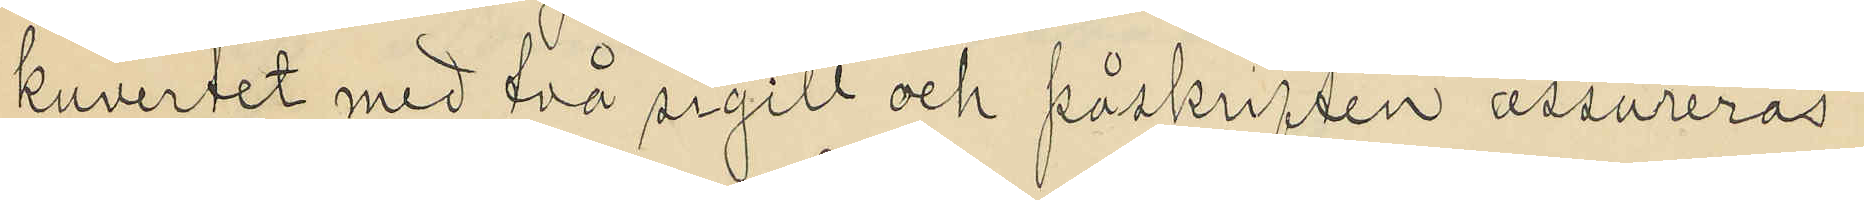kuvertet med två sigill och påskriften "assureras"
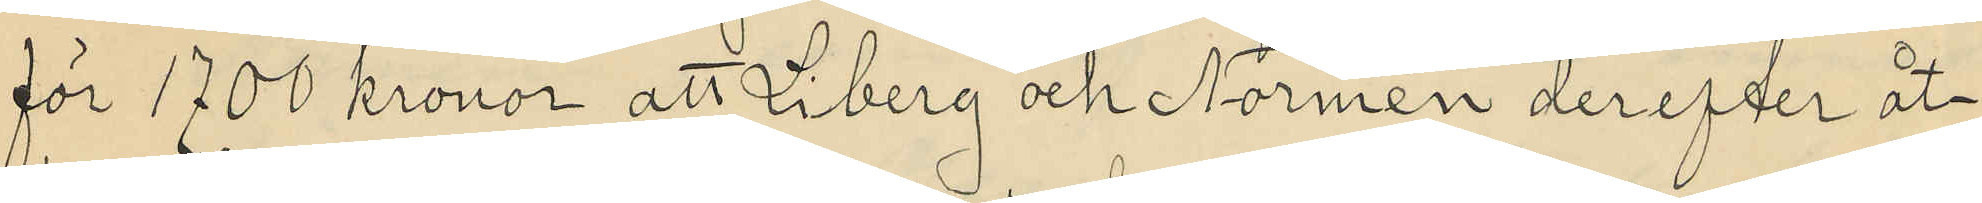för 1700 kronor, att Liberg och Normén derefter åt¬
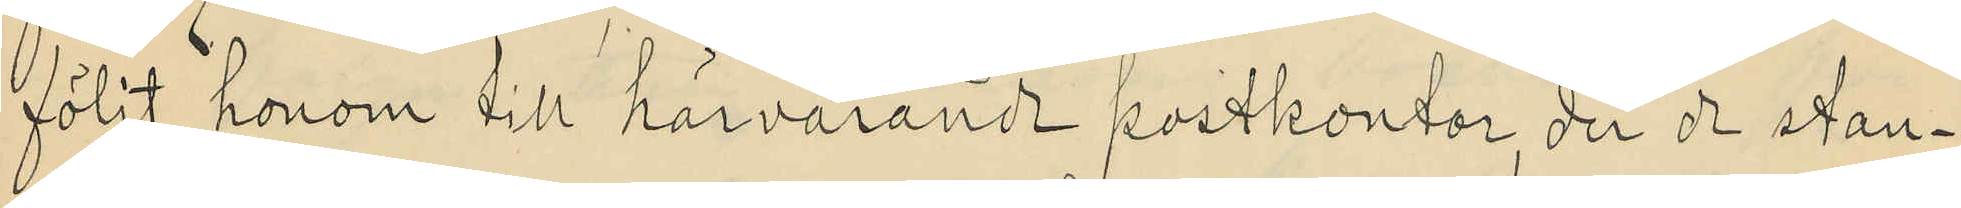följt honom till härvarande postkontor der de stan¬
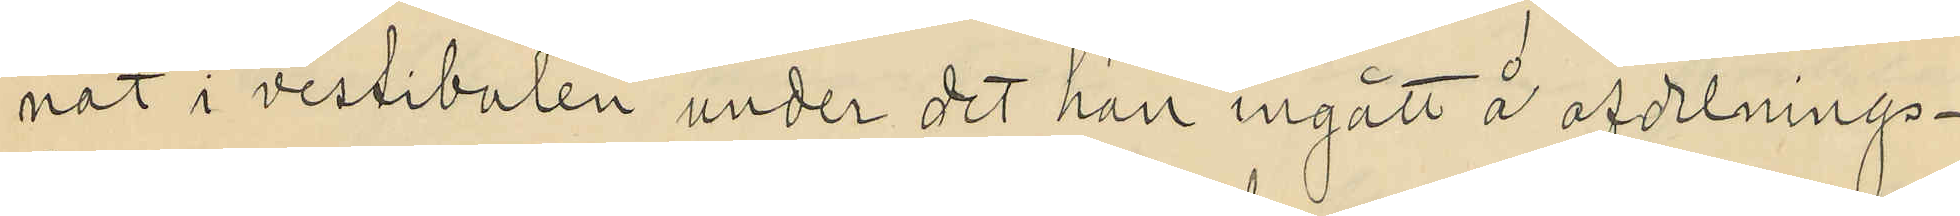nat i vestibulen under det han ingått å afdelnings¬
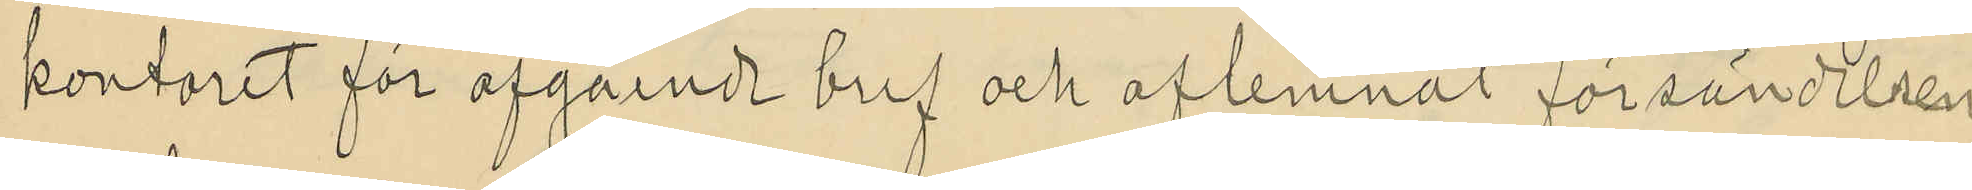kontoret för afgående bref och aflemnat försändelsen,
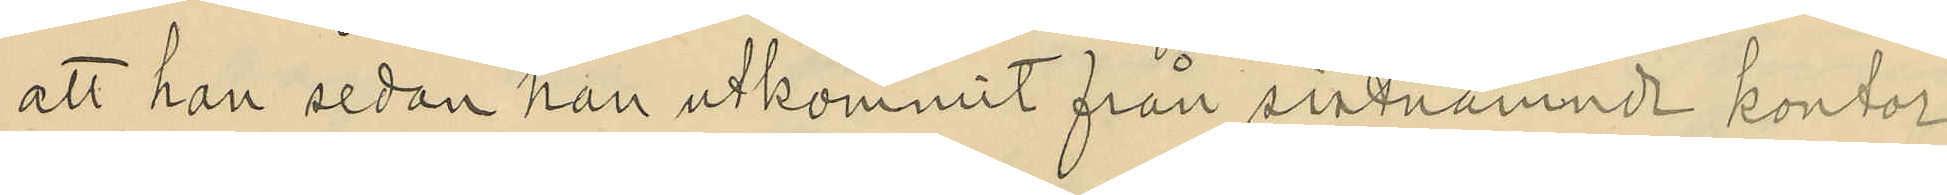att han sedan han utkommit från sistnämnde kontor
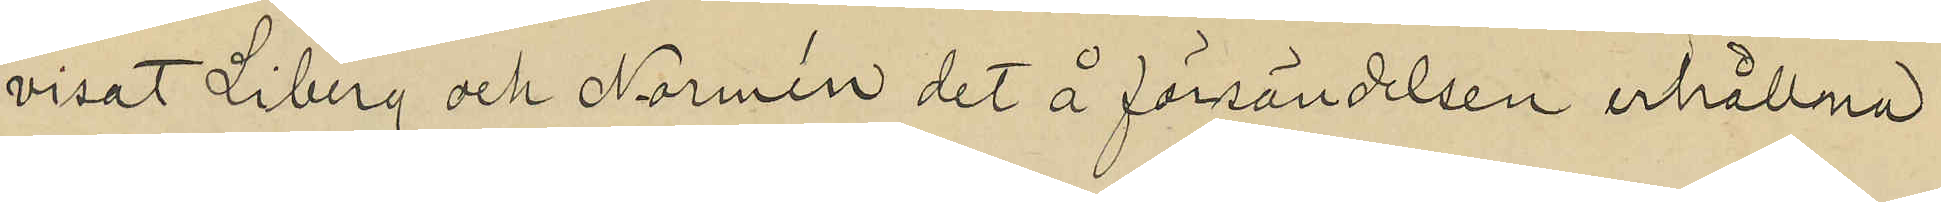visat Liberg och Normén det å försändelsen erhållna
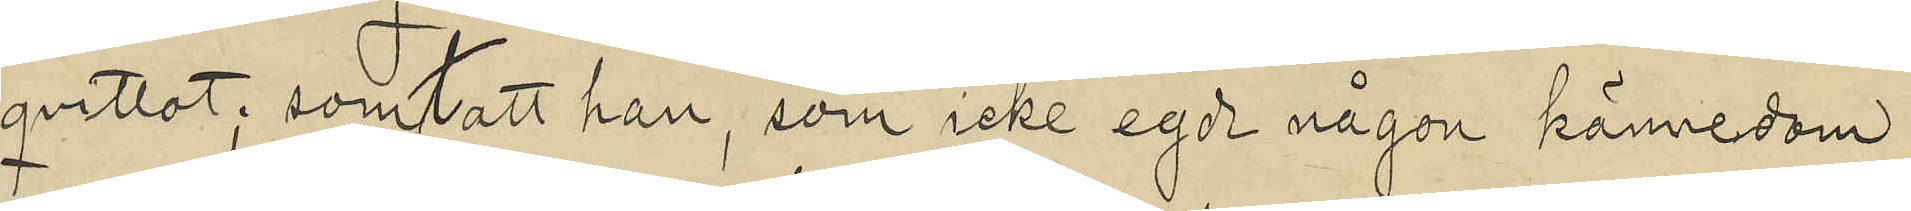qvittot; samt att han, som icke egde någon kännedom
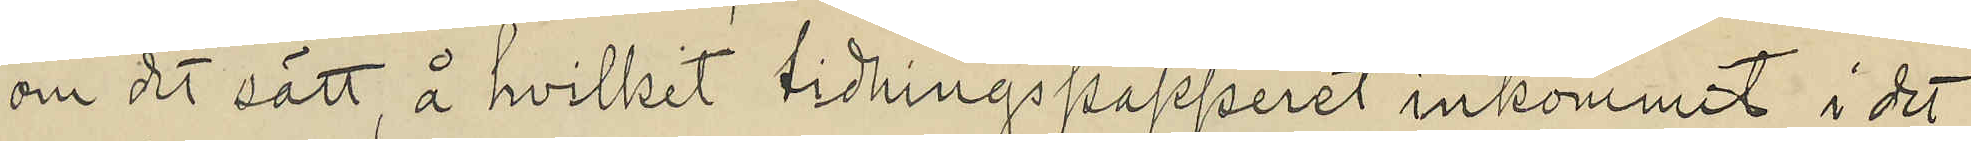om det sätt, å hvilket tidningspapperet inkommit i det
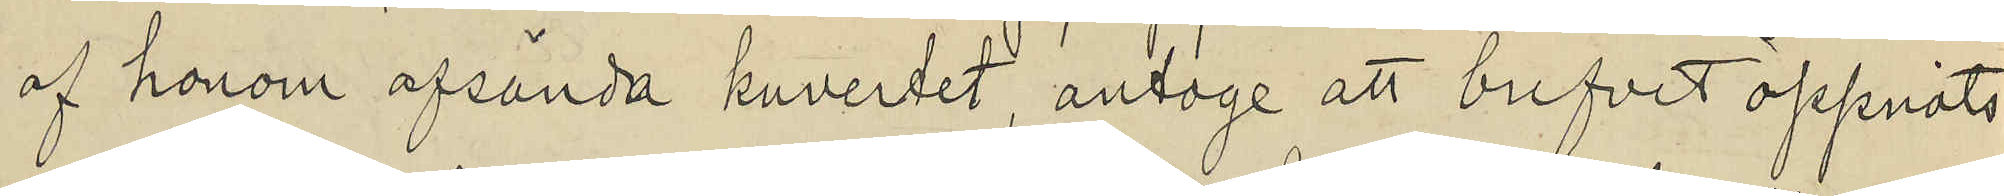af honom afsända kuvertet, antoge att brefvet öppnats
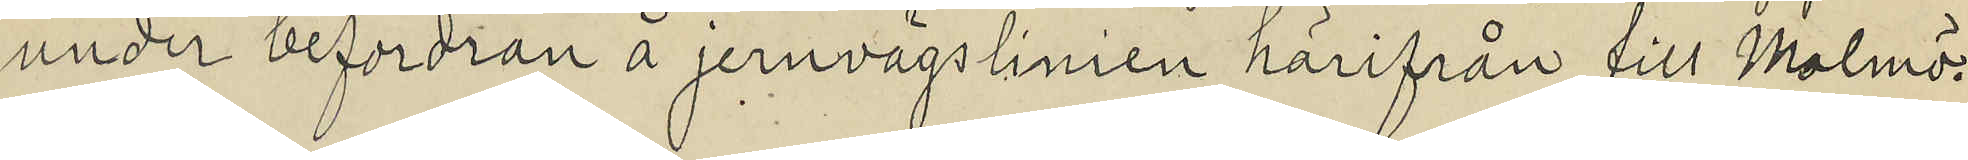under befordran å jernvägslinien härifrån till Malmö.
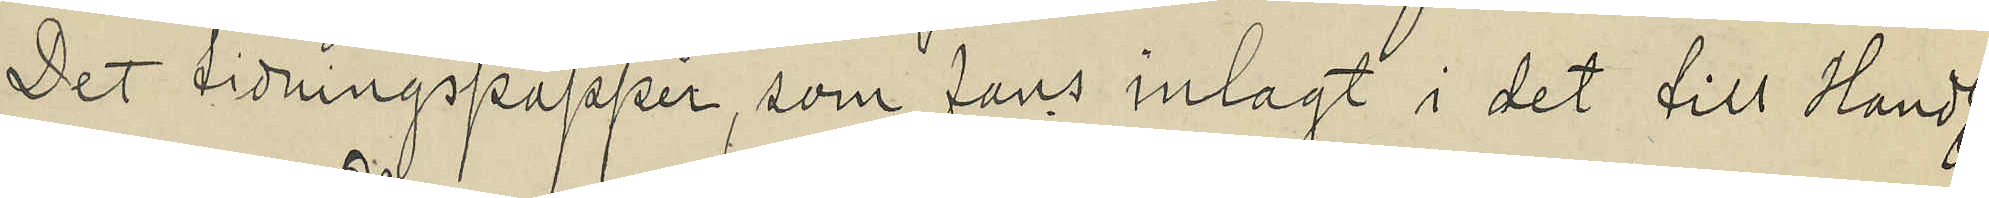Det tidningspapper, som fans inlagt i det till Handl.
